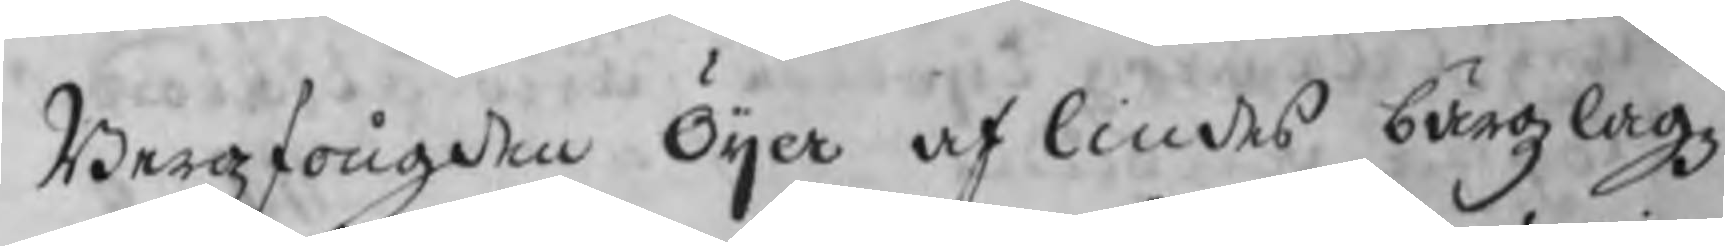Bergzfougden Öijer af Lindes bärgzlagz
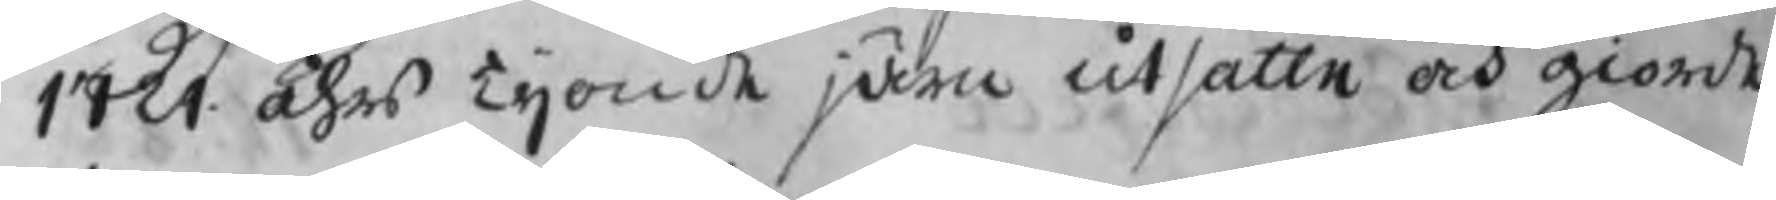1721 åhrs Tijonde järn utsatte och giorde
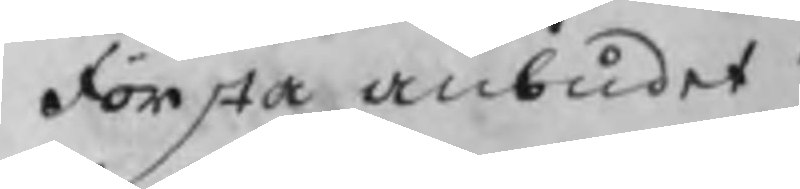första anbudet
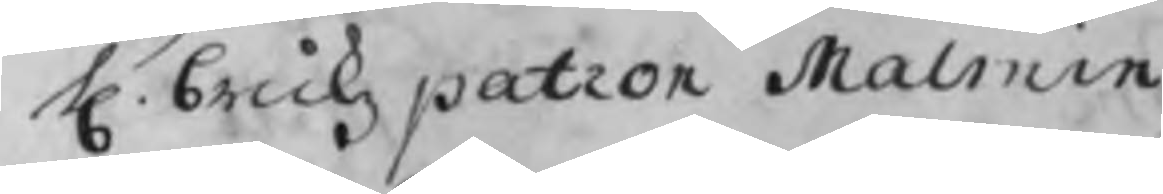H. brukzpatron Malmin
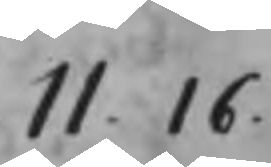11.16
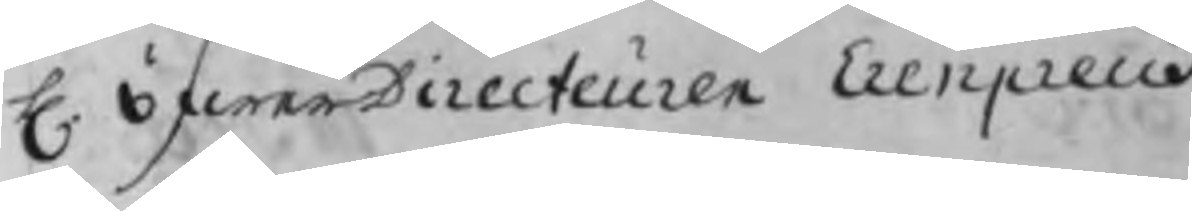H. öfwerDirecteuren Erenpreus
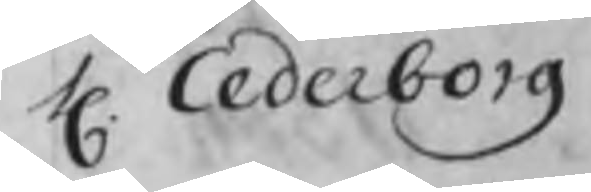H. Cederborg
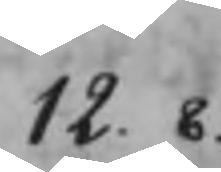12.8
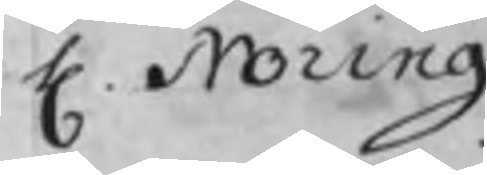H. Noring
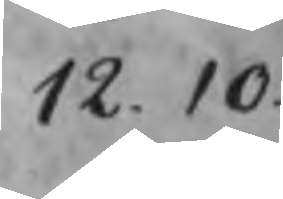12.10
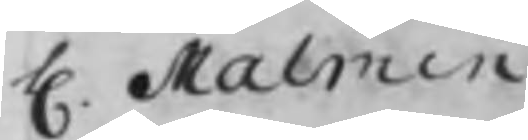H. Malmin
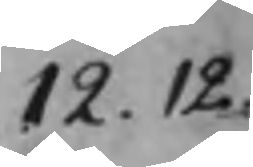12.12
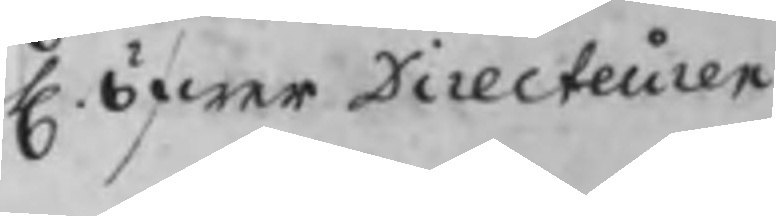H. öfwer Directeuren
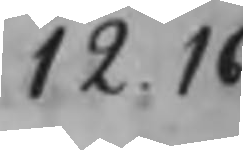12.16
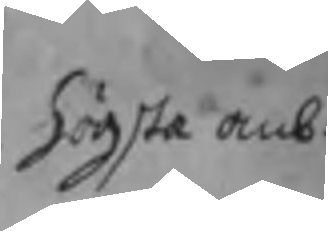högsta anb.
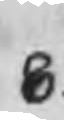8.
